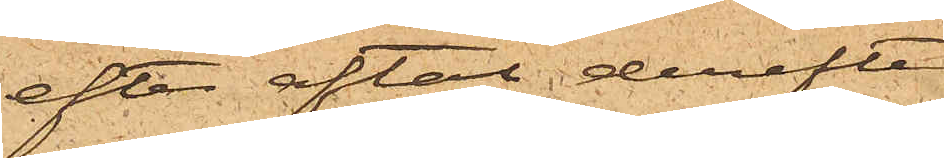efter aftal derefter
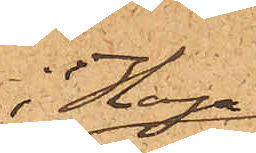i Haga
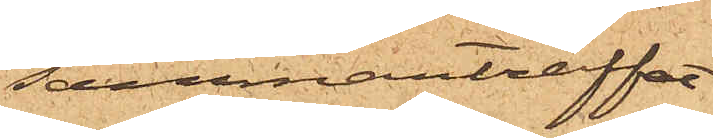sammanträffat
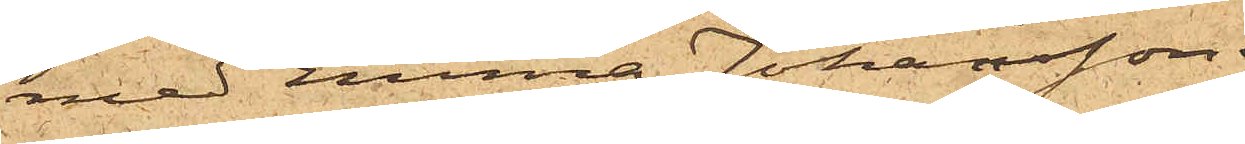med Emma Johansson,
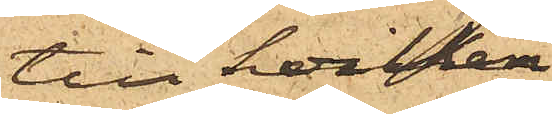till hvilken
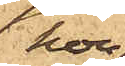hon
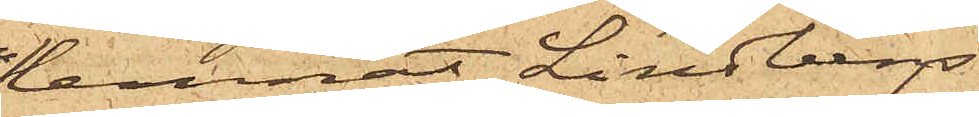lemnat Lindbergs
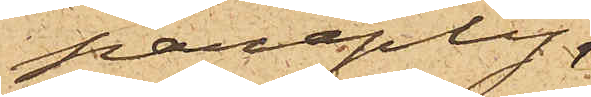paraply
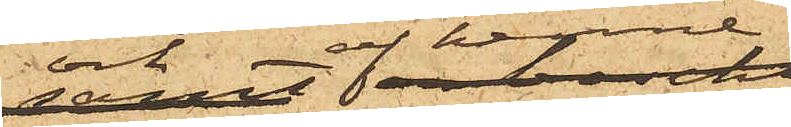och af henne
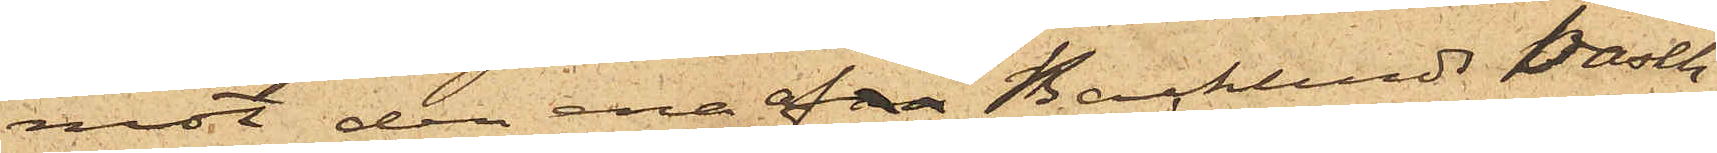mot den ena af Backlunds basch¬
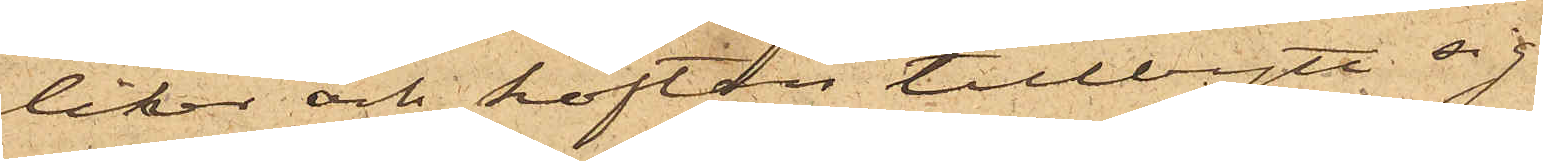liker och koftan tillbytt sig
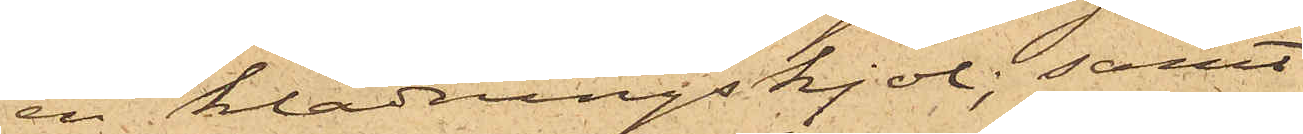en klädningskjol; samt
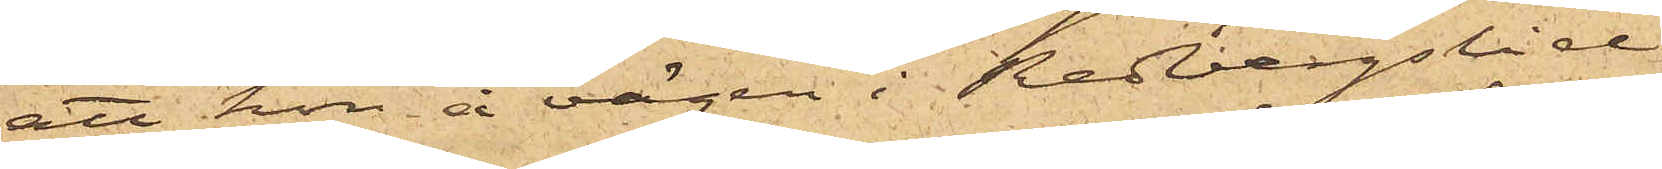att hon å vägen i Redbergslid
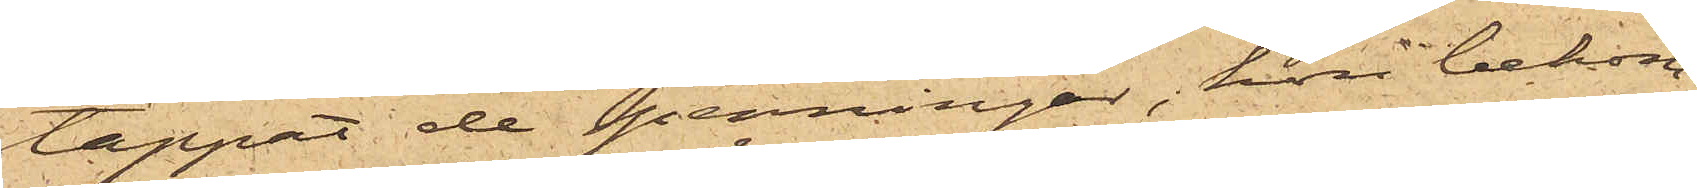tappat de penningar, hon bekom¬
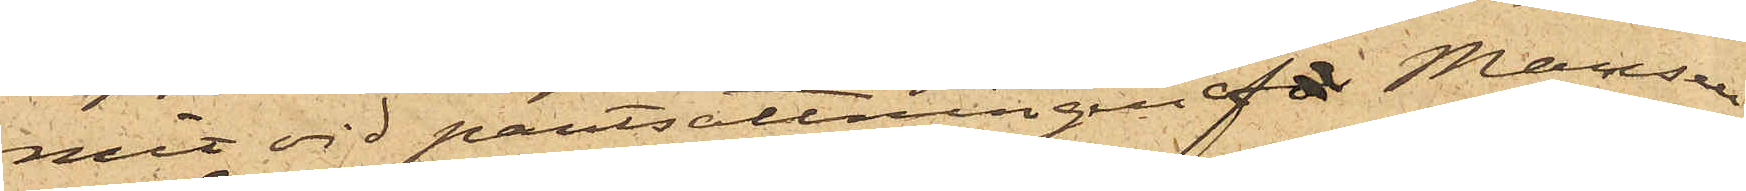mit vid pantsättningen af Mamsell
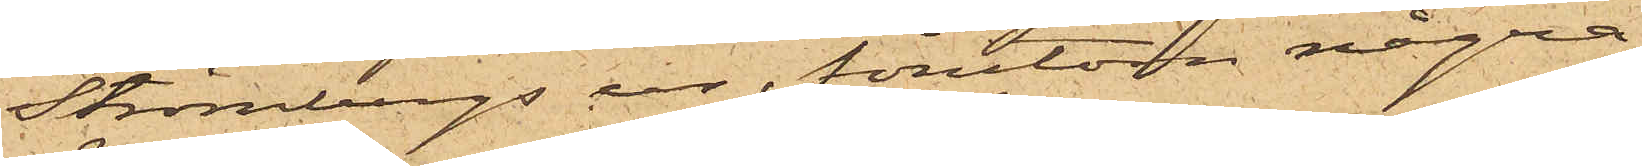Strömbergs ur, förutom några
